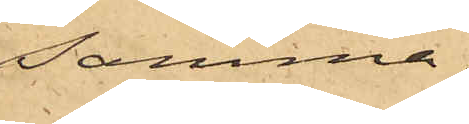samma.
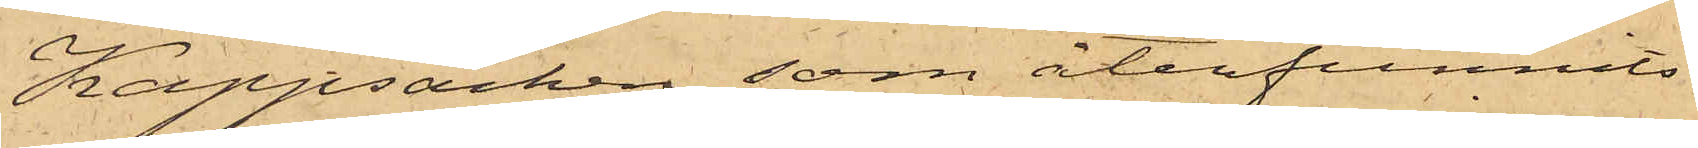Kappsäcken, som återfunnits
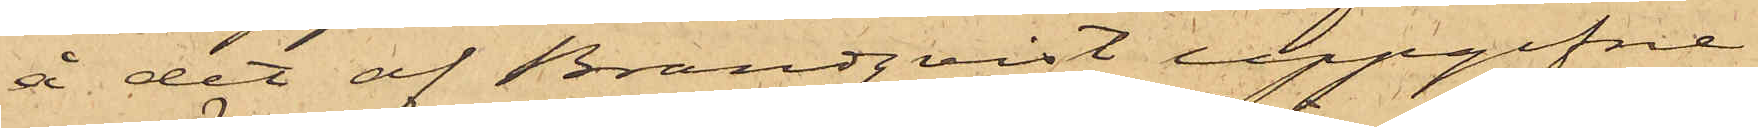å det af Brandqvist uppgifne
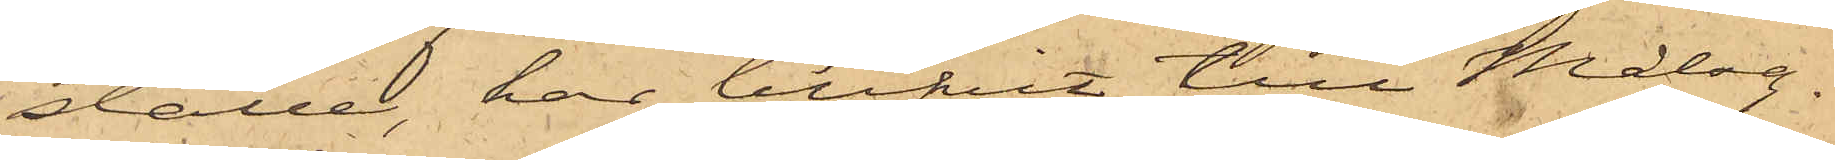ställe, har blifvit till Målsg.
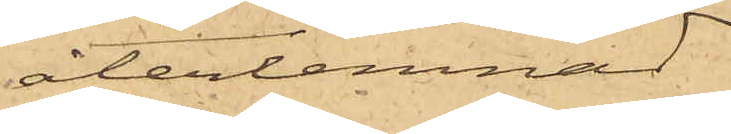återlemnad.
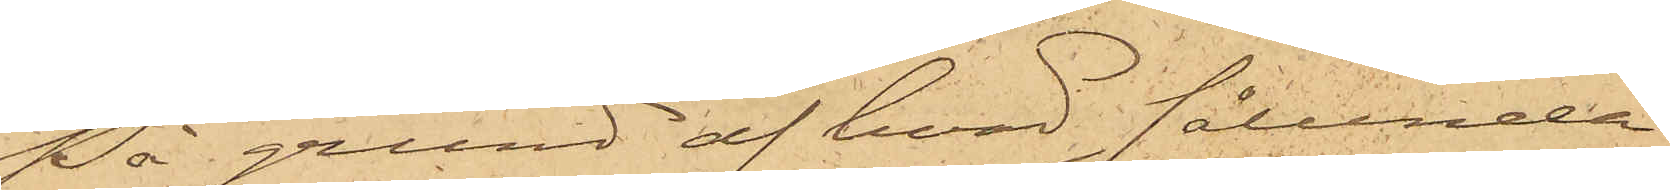På grund af hvad sålunda
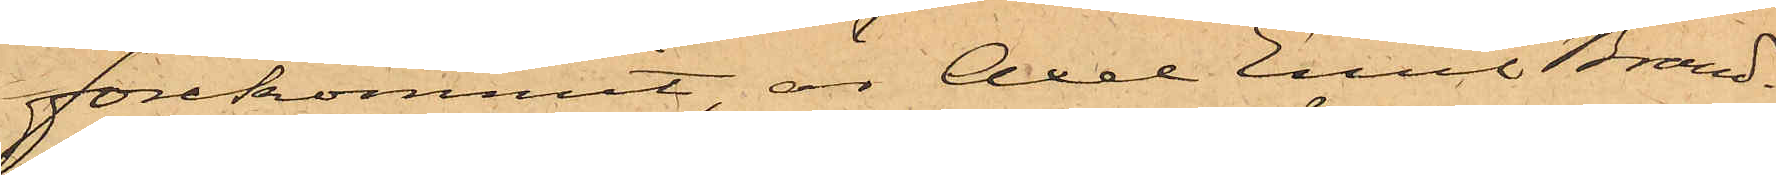förekommit, är Axel Emil Brand¬
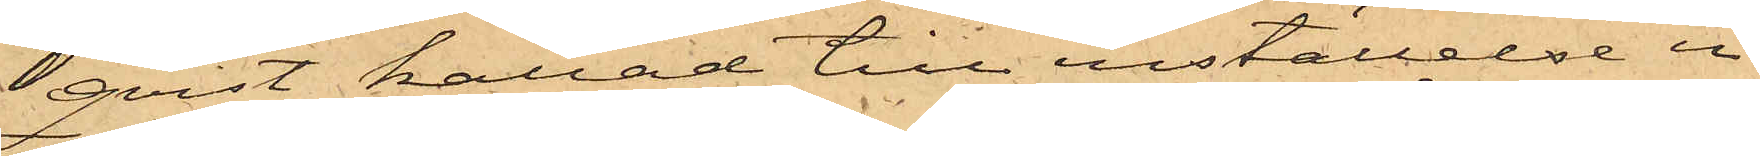qvist kallad till inställelse i
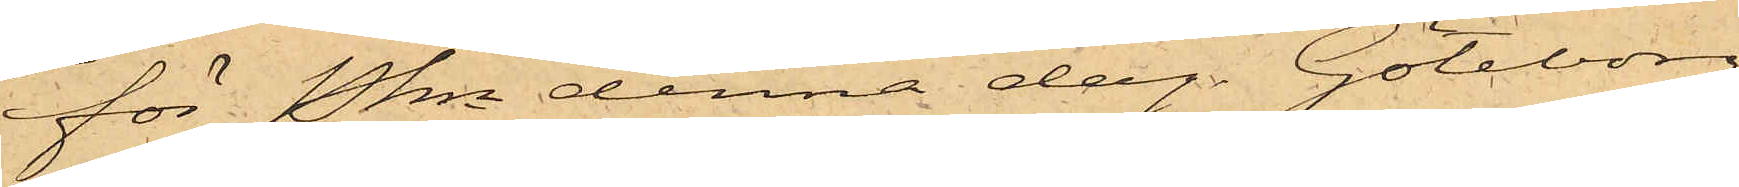för Pkn denna dag. Göteborg
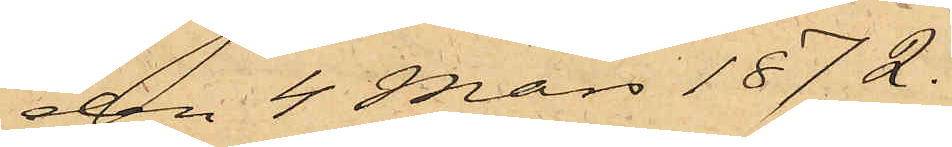den 4 Mars 1872.
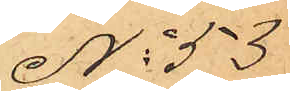No 53
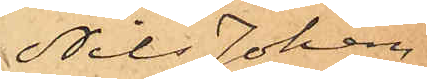Nils Johan
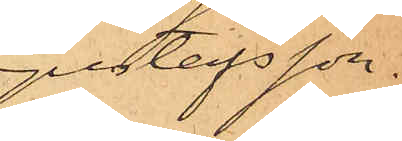Gustafsson.
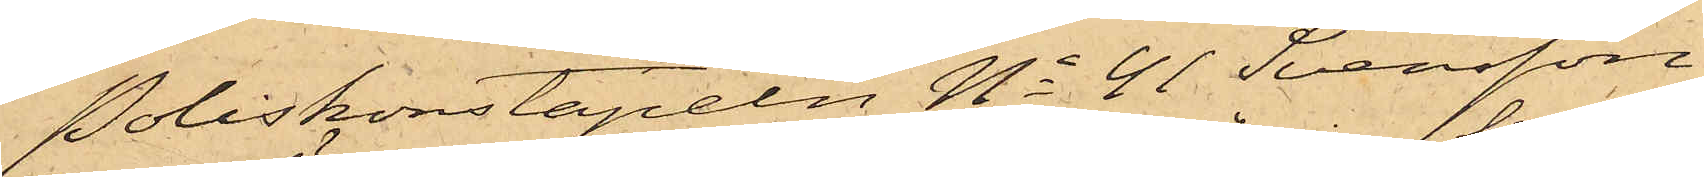Poliskonstapeln No 41 Svensson
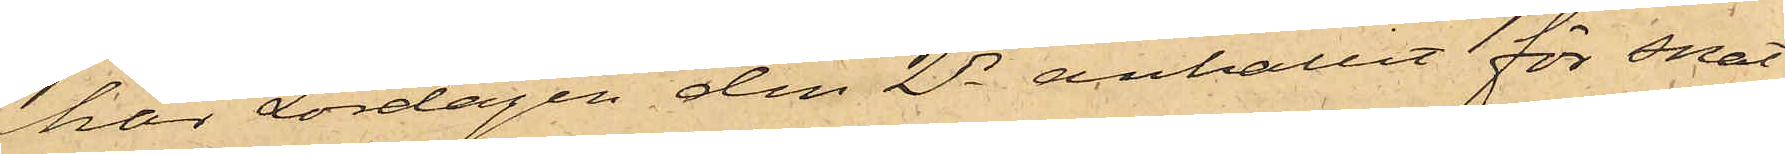har Lördagen den 2 ds anhållit för snat¬
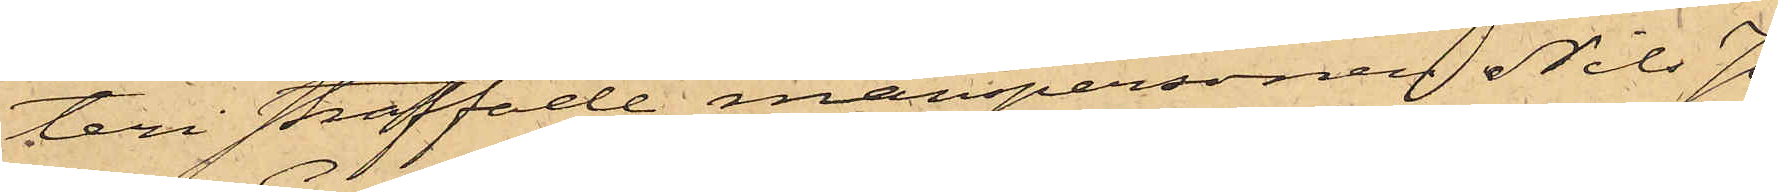teri straffade manspersonen Nils Jo¬
